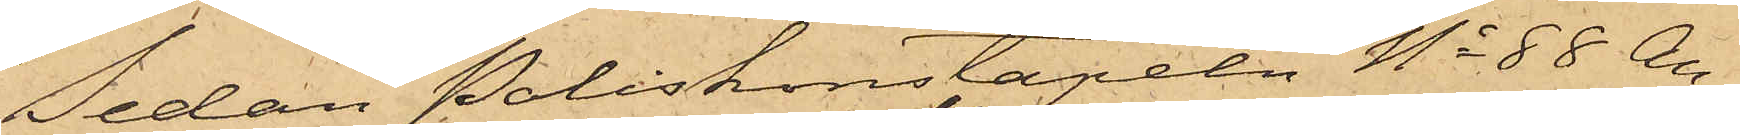Sedan Poliskonstapeln No 88 An¬
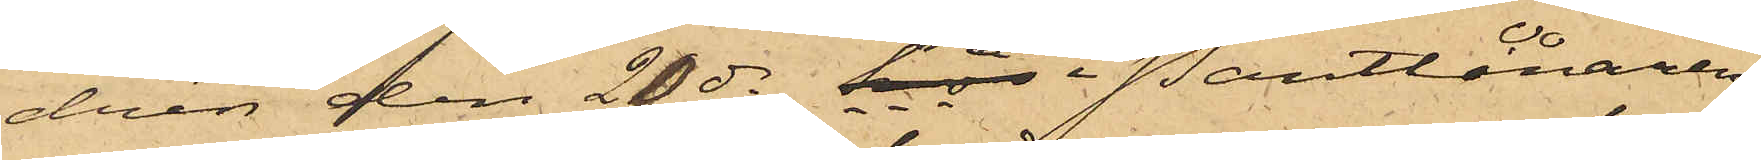drén den 20 ds hos i Pantlånaren
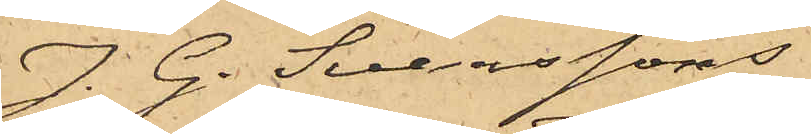J. G. Svenssons
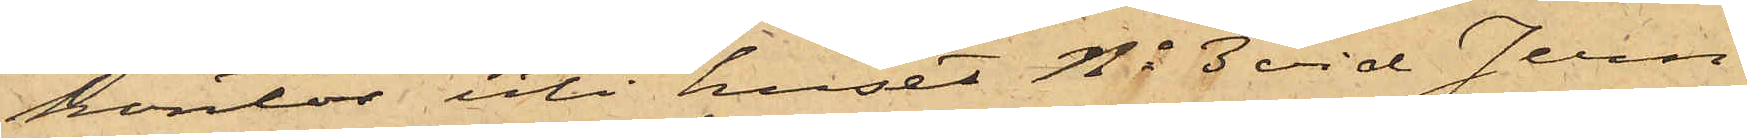kontor uti huset No 3 vid Jern¬
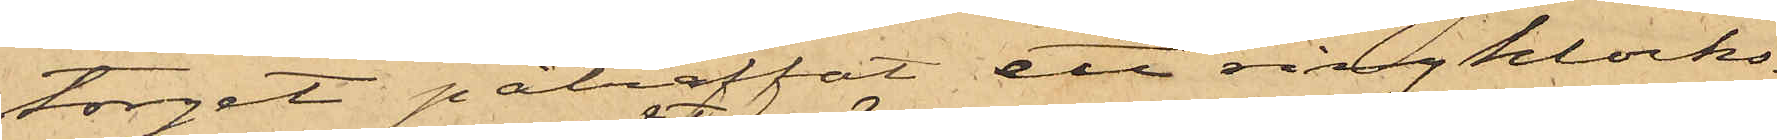torget påträffat ett ringklocks¬
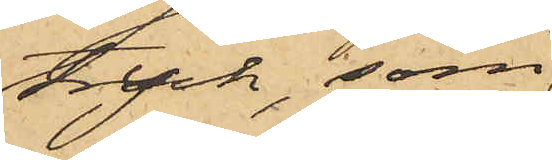tryck, som
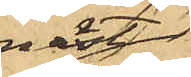näst
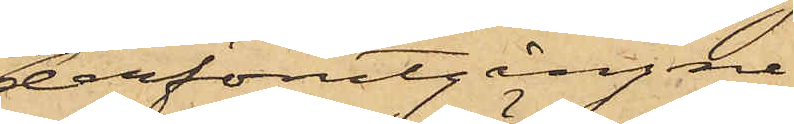derförutgångne
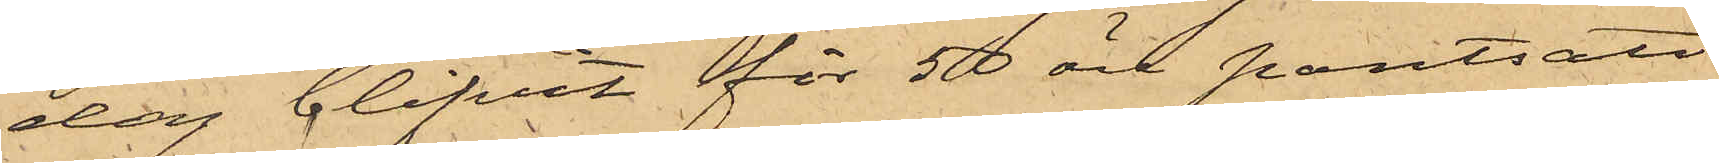dag blifvit för 50 öre pantsatt
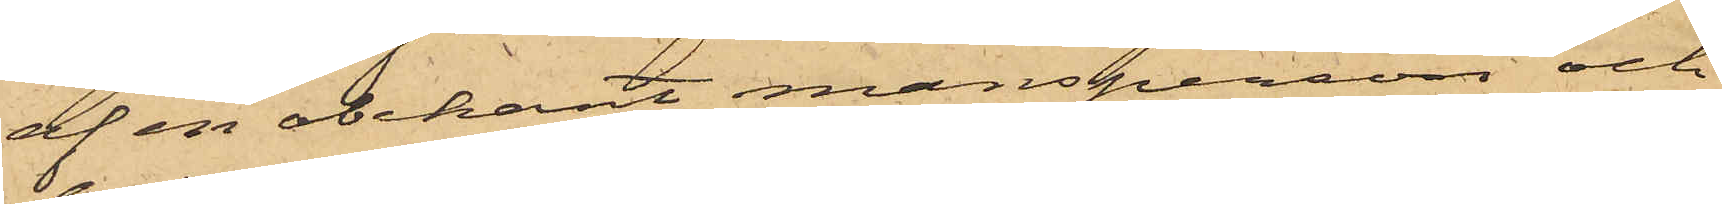af en obekant mansperson och
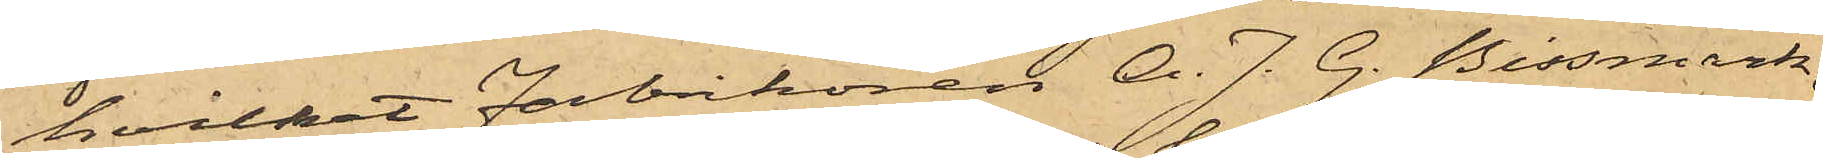hvilket Fabrikören A. J. G. Bissmark,
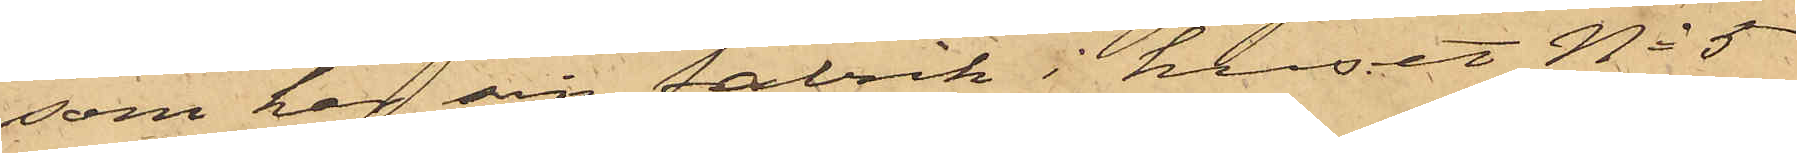som har sin fabrik i huset No 5
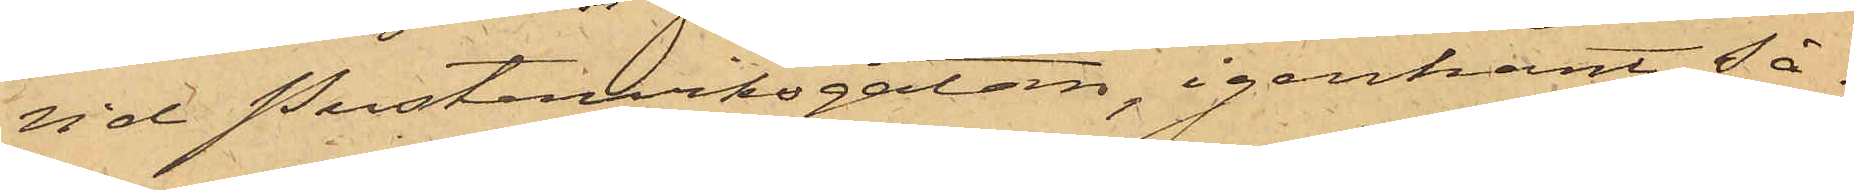vid Pusterviksgatan, igenkänt så¬
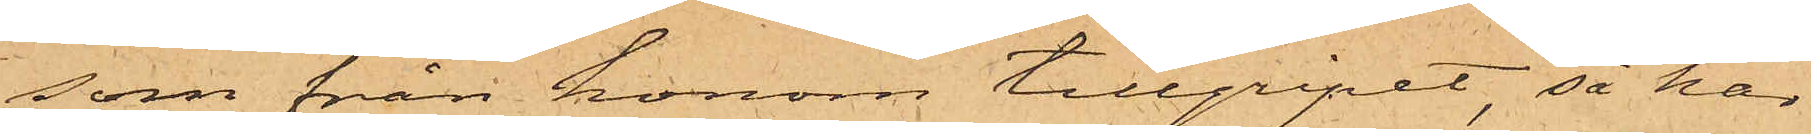som från honom tillgripet, så har
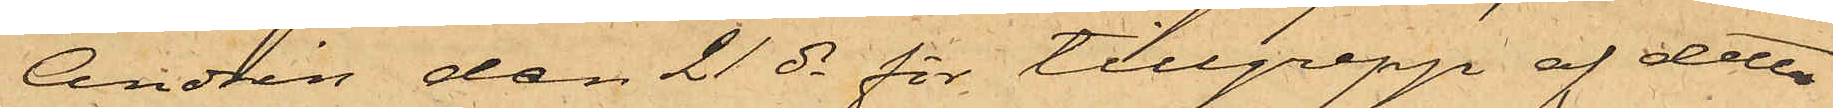Andrén den 21 ds för tillgrepp af detta
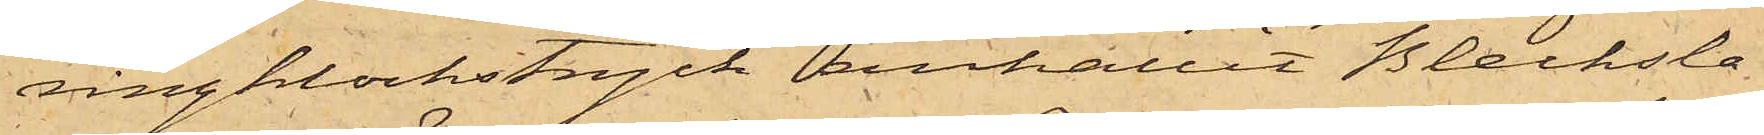ringklockstryck anhållit Blecksla¬
